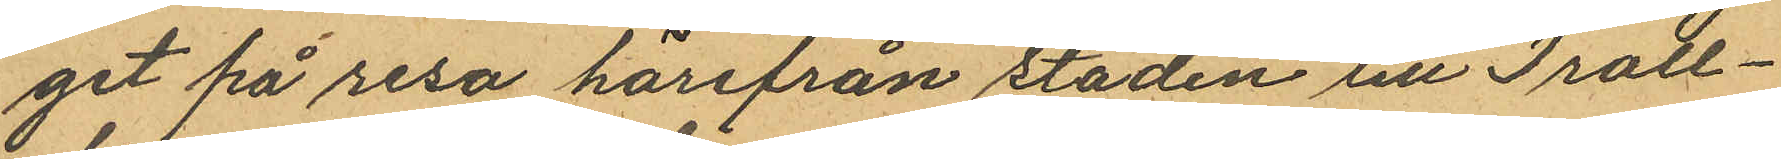get på resa härifrån staden till Troll¬
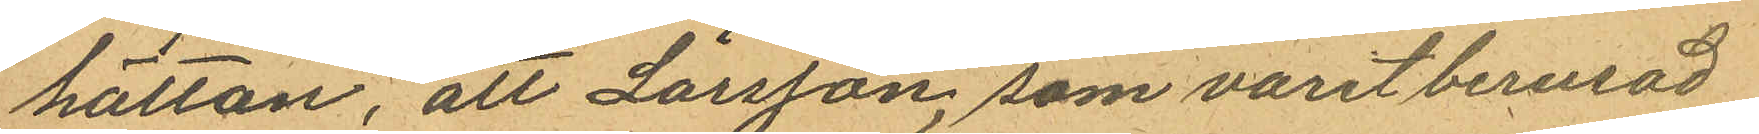hättan, att Larsson, som varit berusad
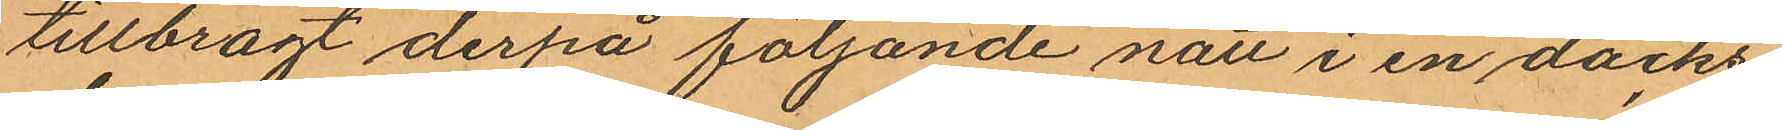tillbragt derpå följande natt i en däcks¬
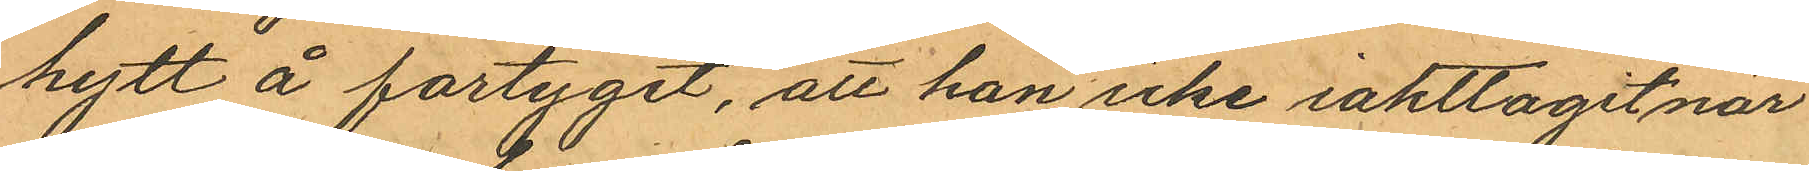hytt å fartyget, att han icke iakttagit när
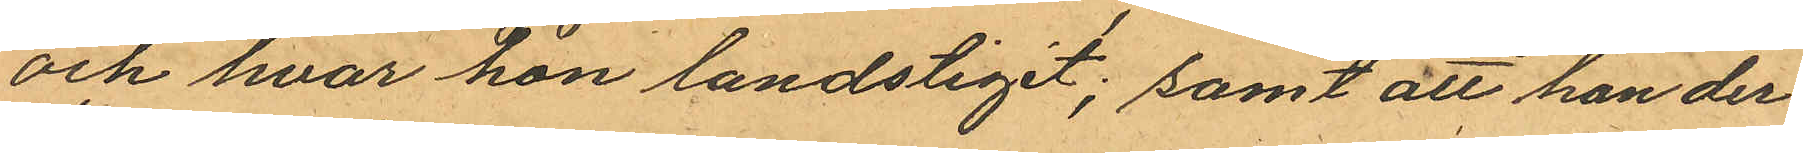och hvar hon landstigit; samt att han der¬
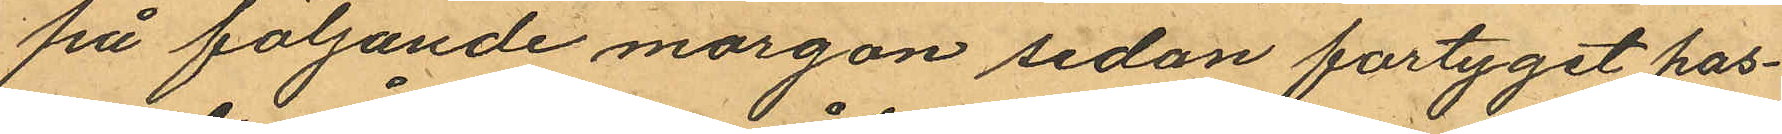på följande morgon sedan fartyget pas¬
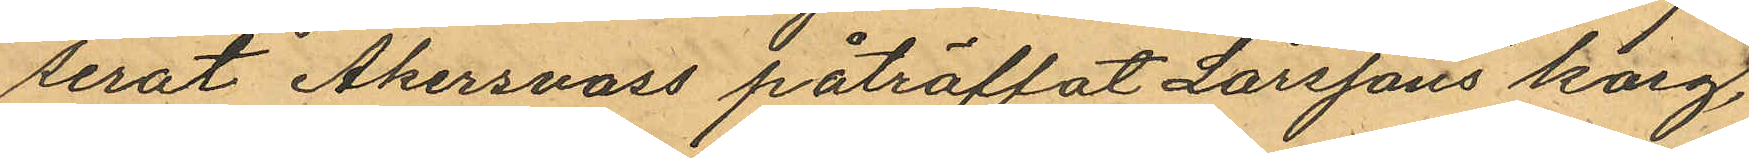serat Åkersvass påträffat Larssons korg,
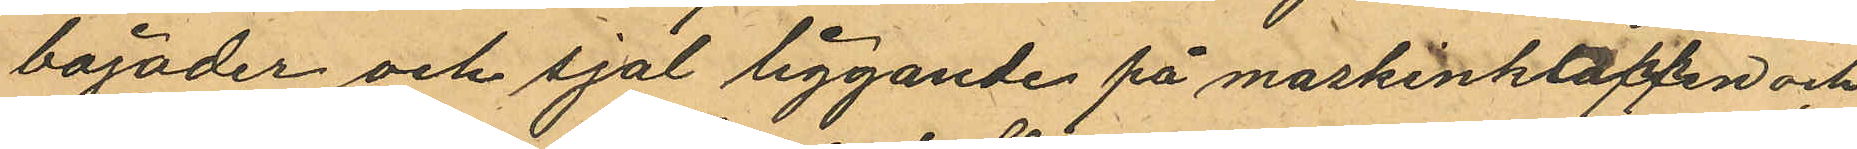bajader och sjal liggande på maskinktrappen och
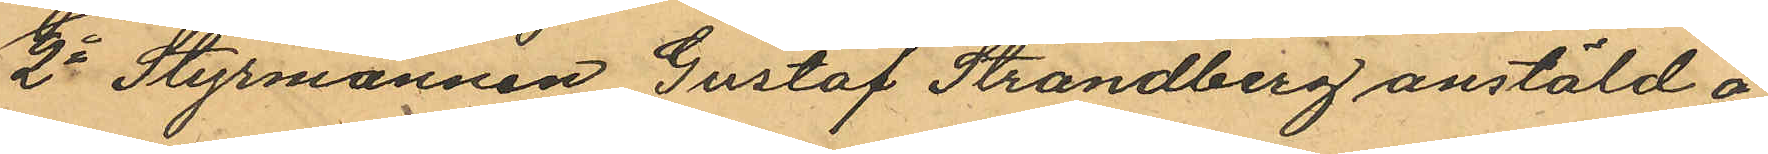2o Styrmannen Gustaf Strandberg anstäld å
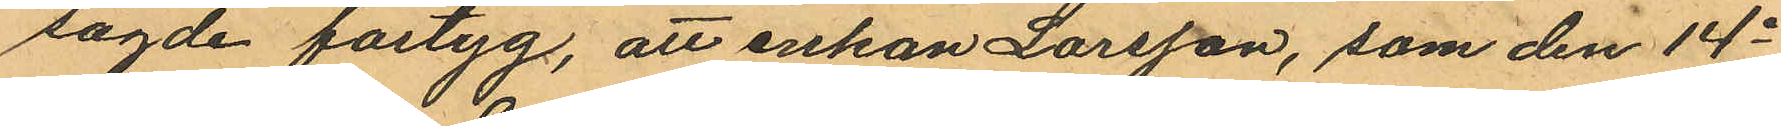sagde fartyg, att enkan Larsson, som den 14e
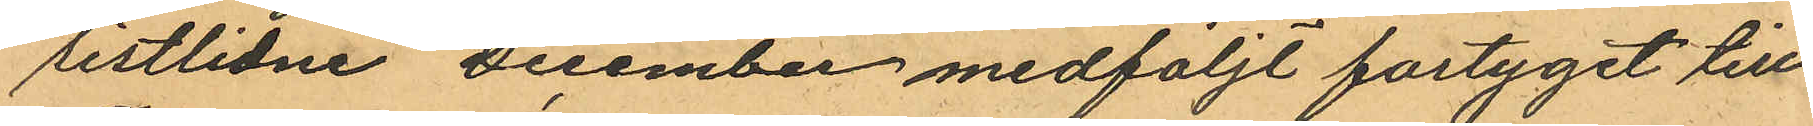sistlidne December medföljt fartyget till
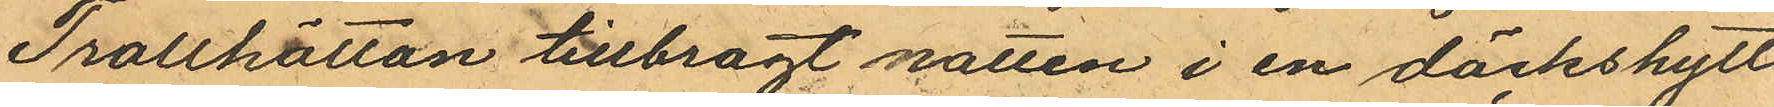Trollhättan tillbragt natten i en däckshytt
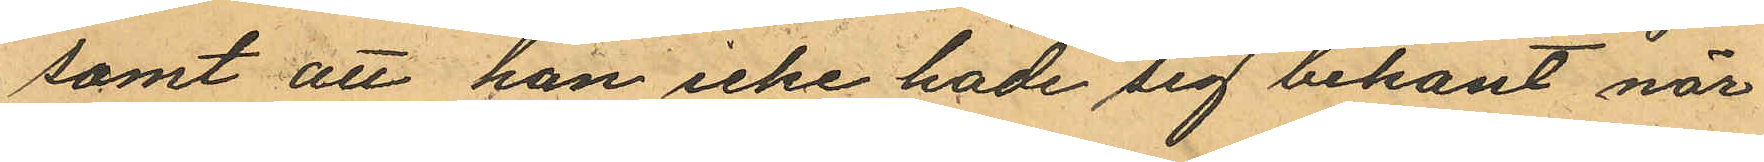samt att han icke hade sig bekant när
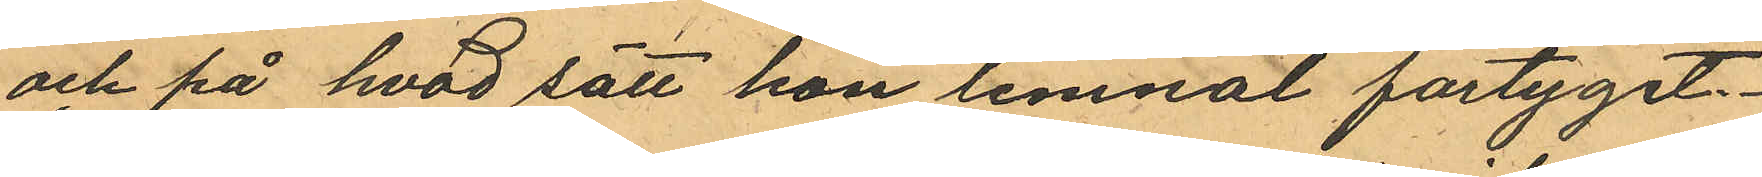och på hvad sätt hon lemnat fartyget.
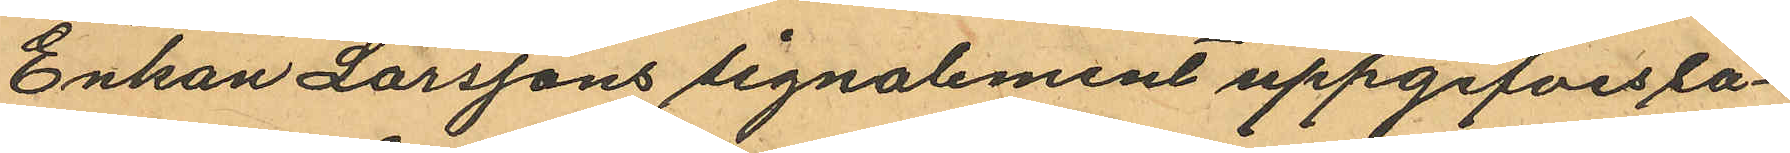Enkan Larssons signalement uppgifves så¬
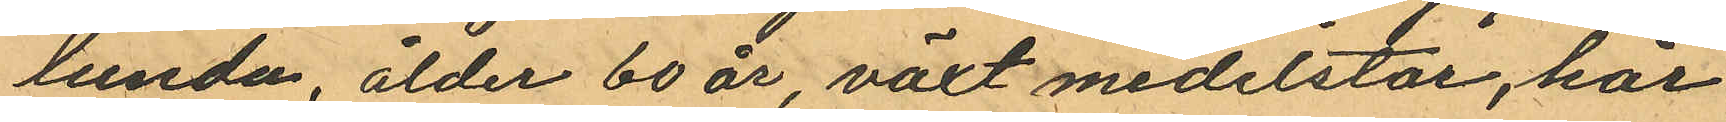lunda, ålder 60 år, växt medelstor, hår
